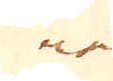ne
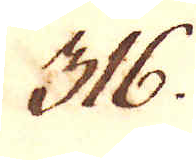316.
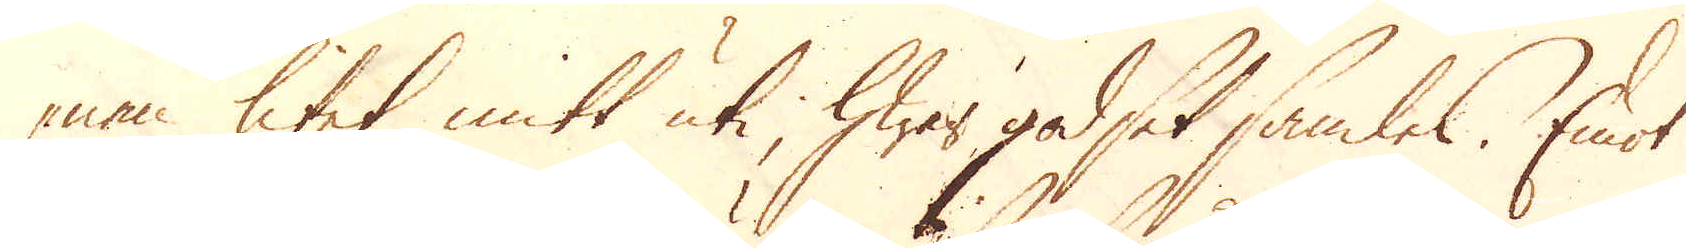nan litet mitt uti, hwar godset samles. Emot
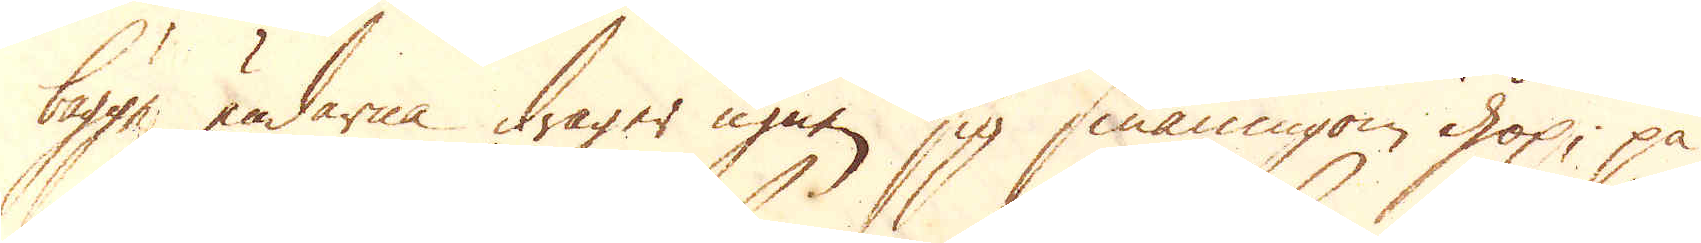bägge ändarna drager ugnen sig småningom ihop, på
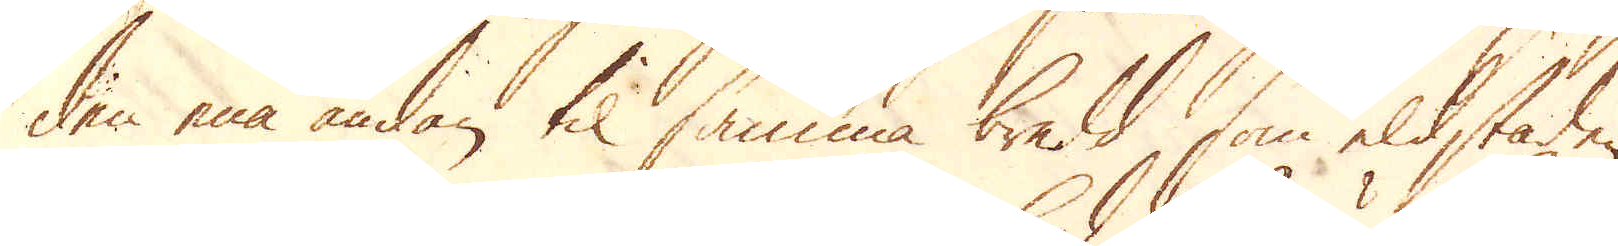den ena ändan til samma bredd, som eldstaden
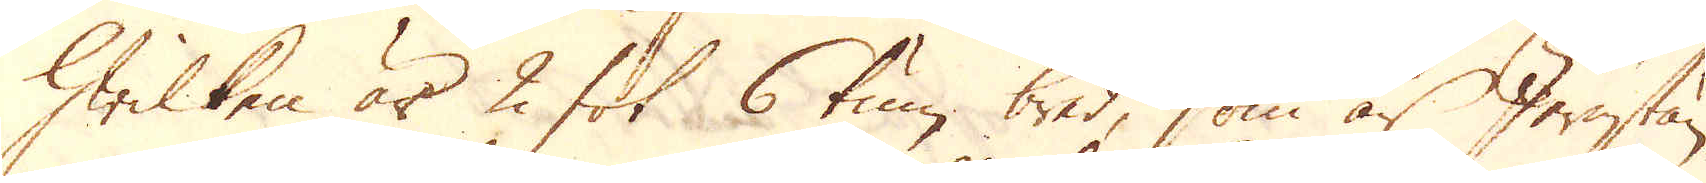hwilken är 2 fot 6 tum bred, som är Jernstän-
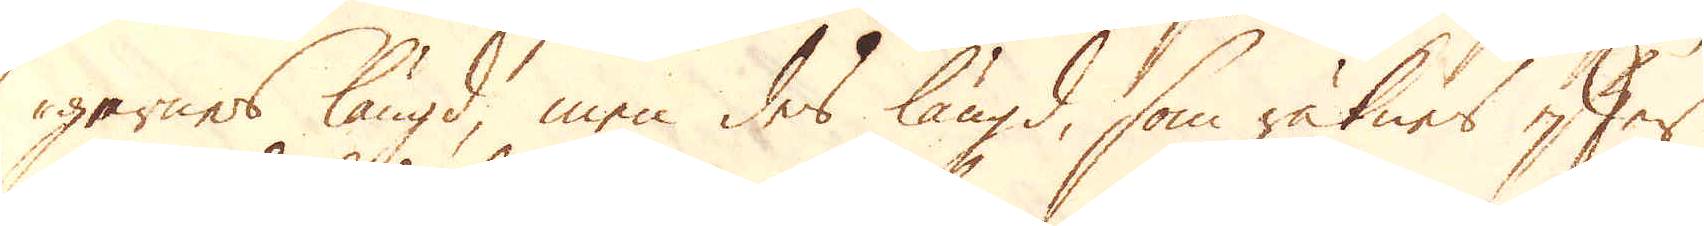garnes längd, men des längd, som räknes efter
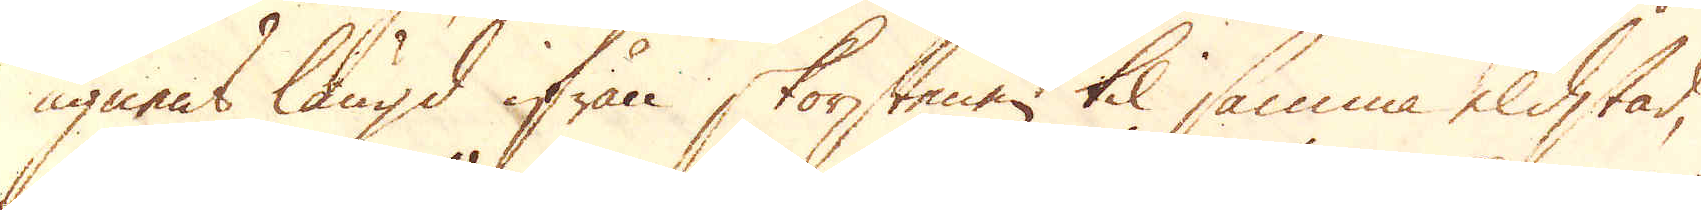ugnens längd ifrån skorstenen til samma eldstad,
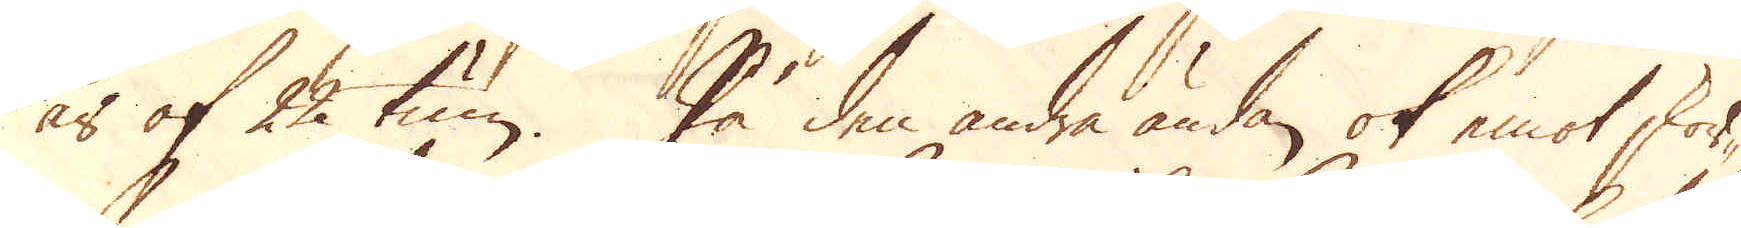är af 22 tum. På den andra ändan ok emot skor-
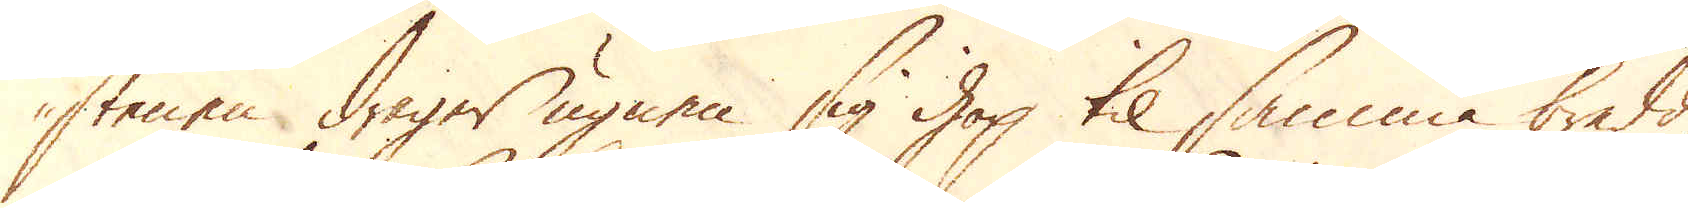stenen drager ugnen sig ihop til samma bredd
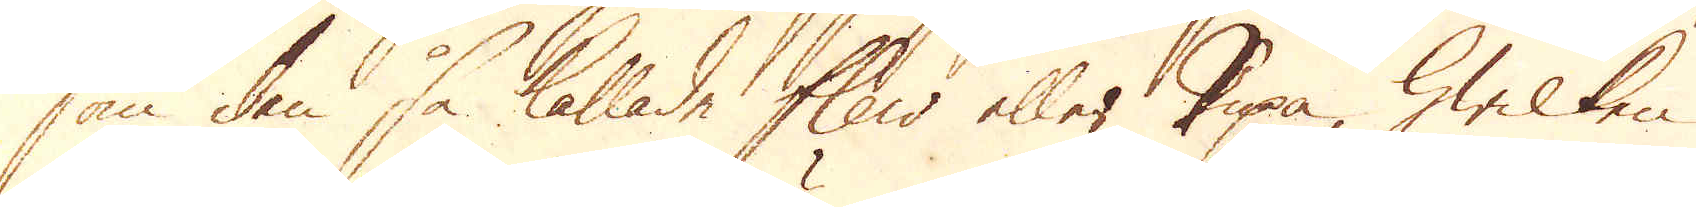som den så kallade flew eller Pipa, hwilken
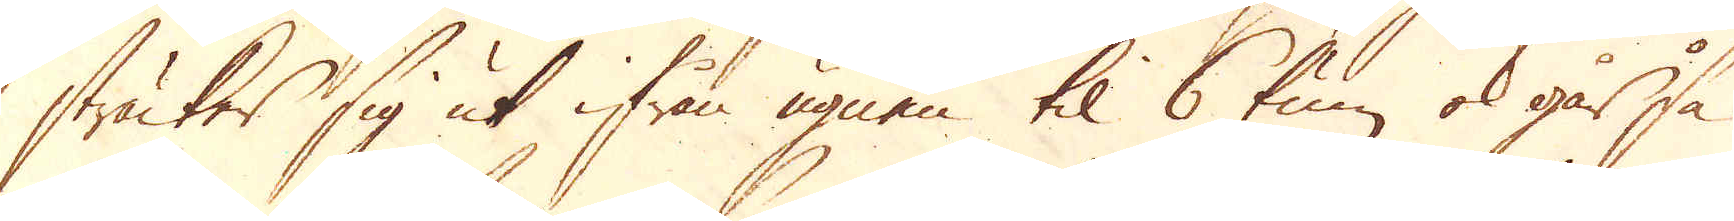sträcker sig ut ifrån ugnen til 6 tum ok går så
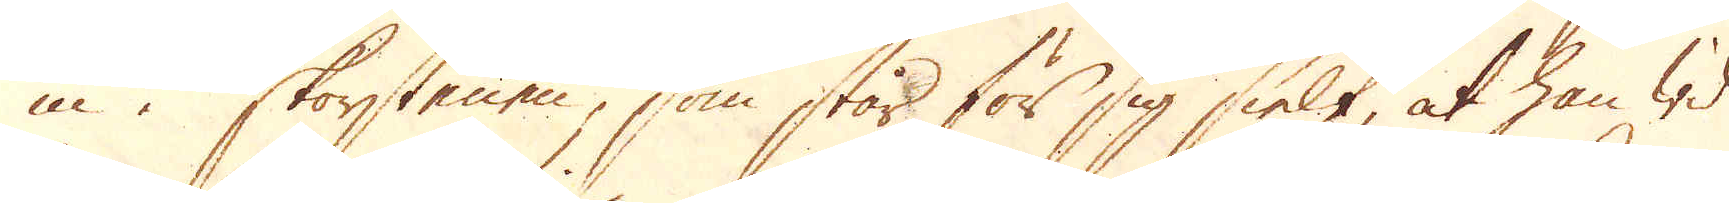in i skorstenen, som står för sig sielf, at han wid
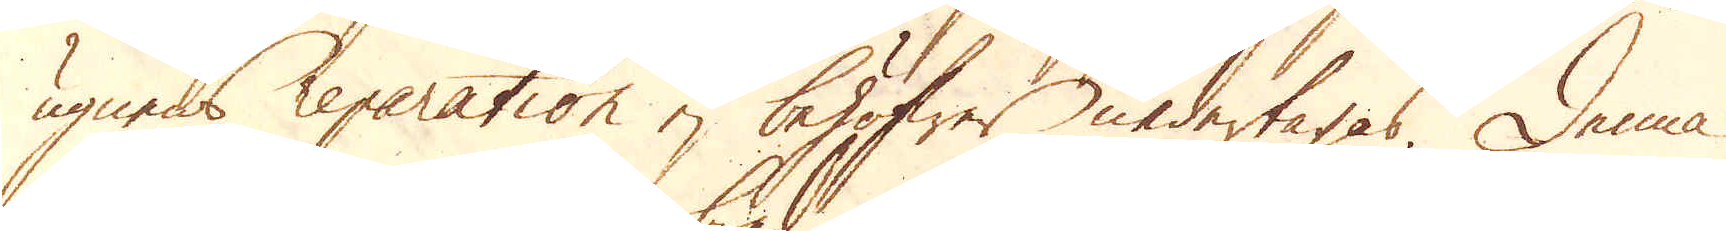ugnens reparation ej behöfwer nedertagas. Denna
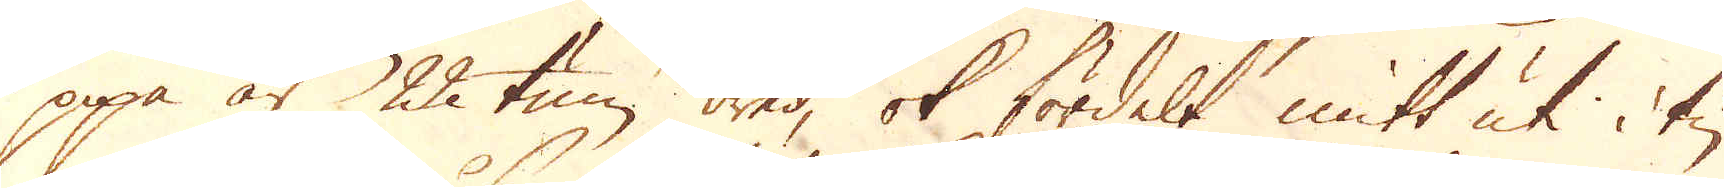pipa är 22 tum bred, ok fördelt mitt uti i tu
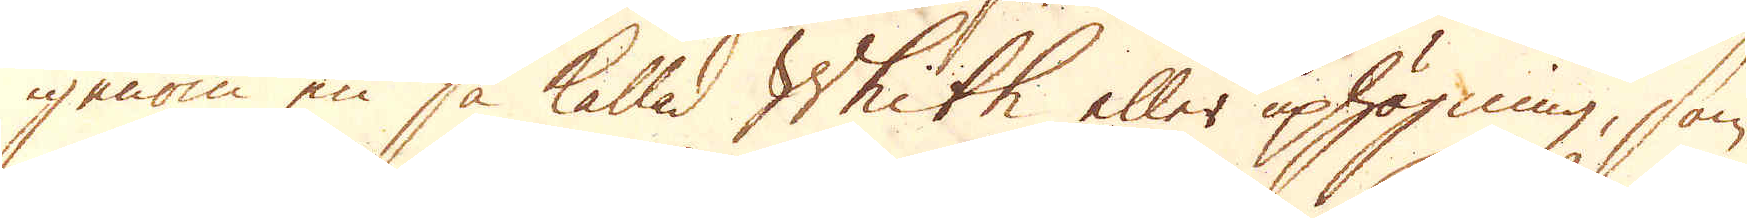igenom en så kallad Whith eller uphögning, som
